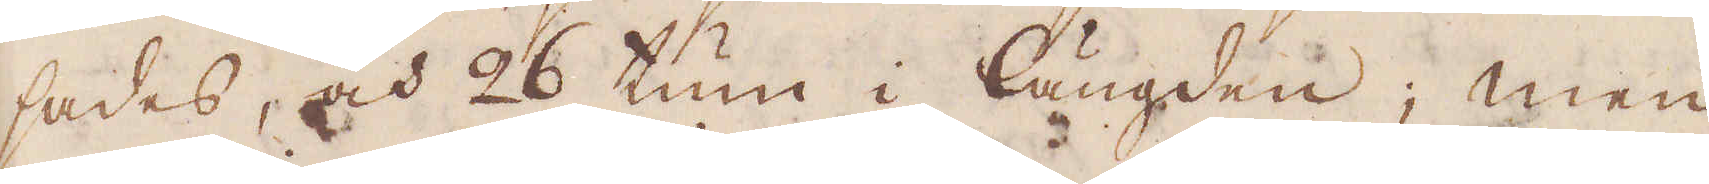sades, och 26 tum i längden; men
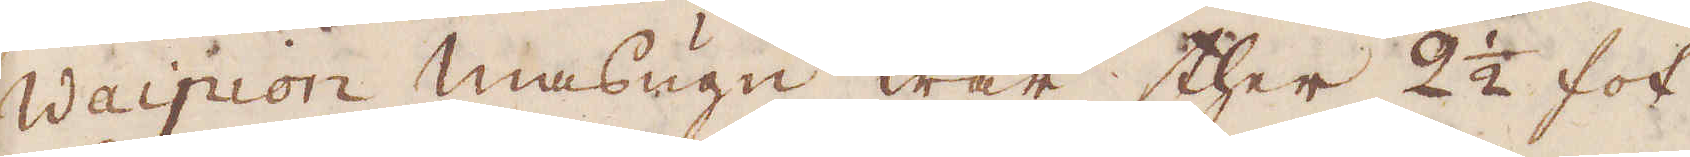Waipion masugn war ther 2 1/2 fot
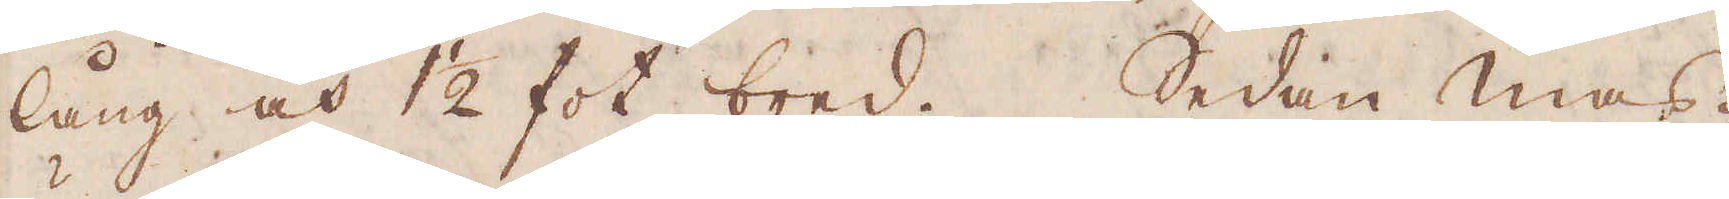lång och 1 1/2 fot bred. Sedan mas-
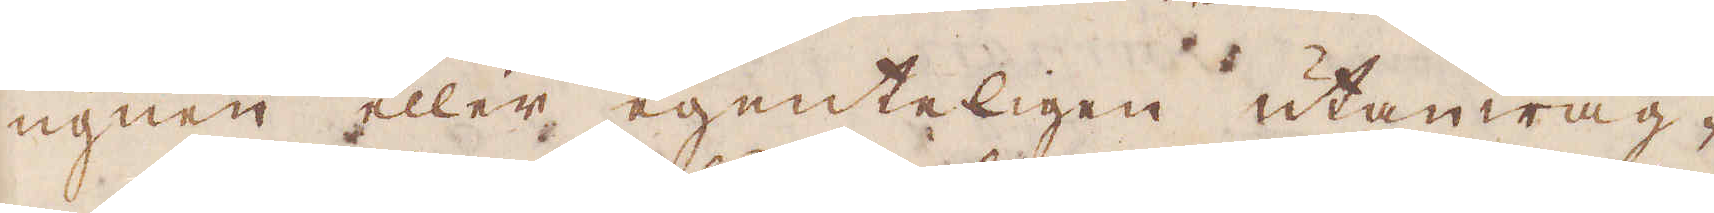ugnen eller egenteligen utanwäg-
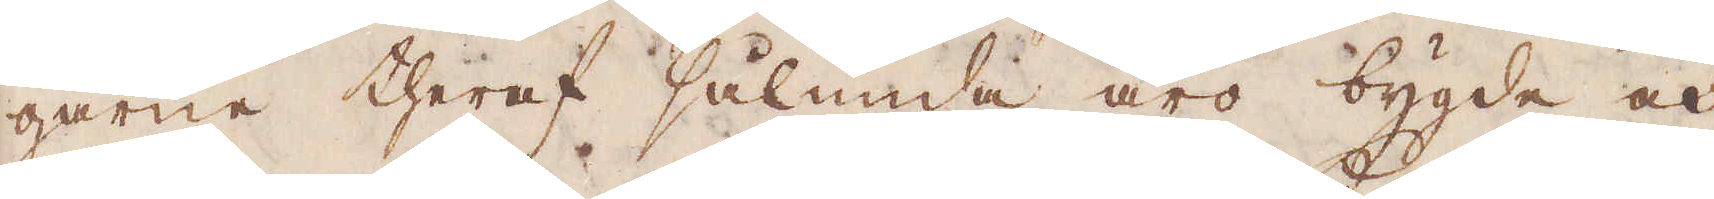garne theraf sålunda äro bygde och
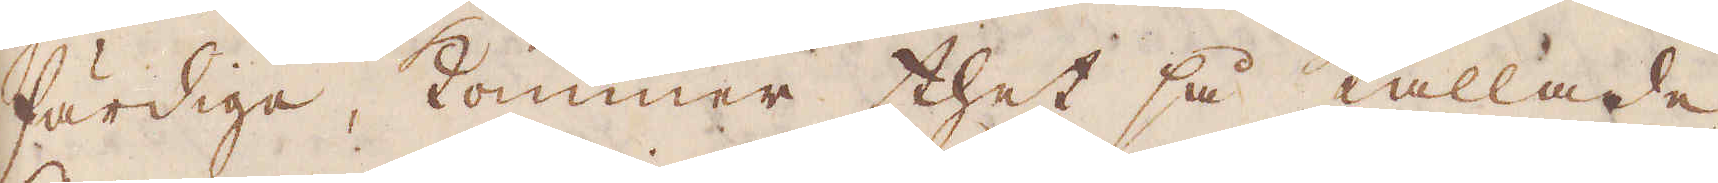färdige, kommer thet så kallade
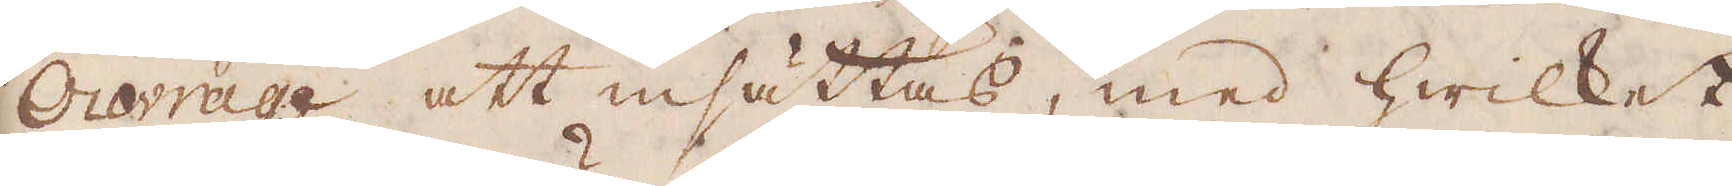Ouvrage att insättas, med hwilket
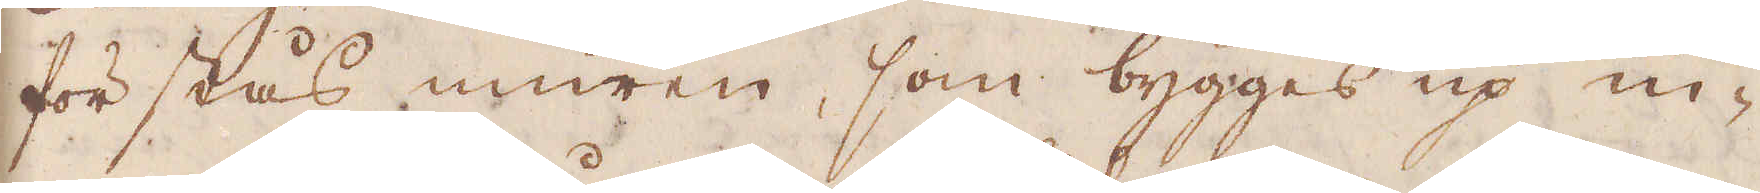förstås muren, som bygges up in-
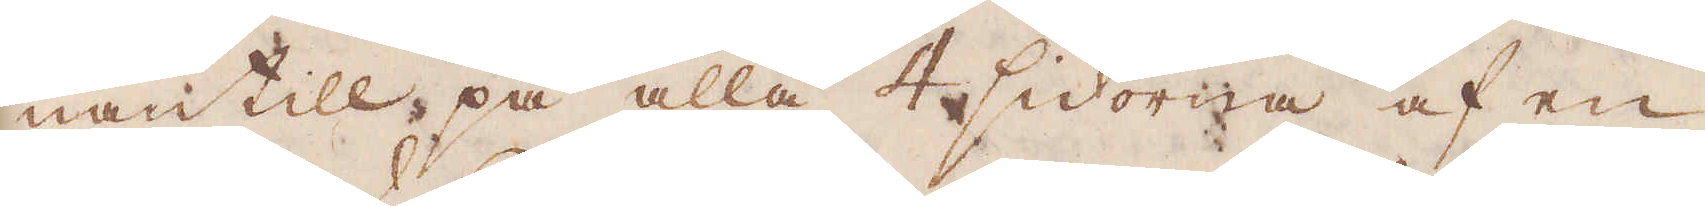nantill på alla 4 sidorna af en
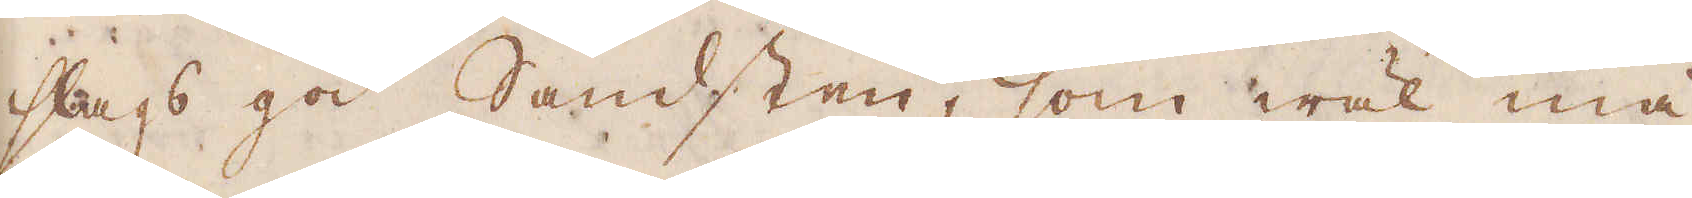slags god Sandsten, som wäl må
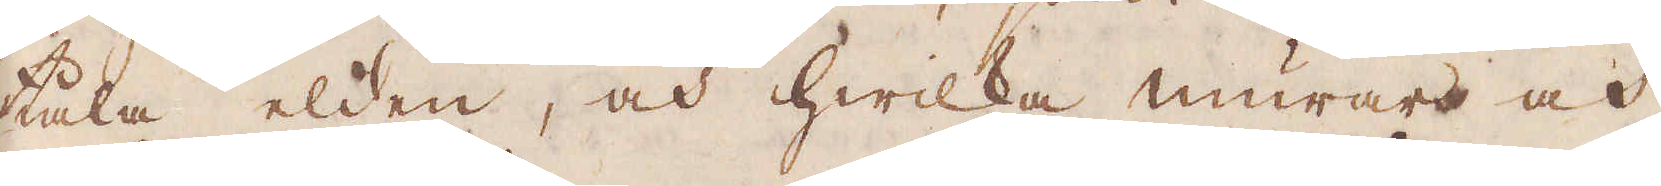tåla elden, och hwilka murar och
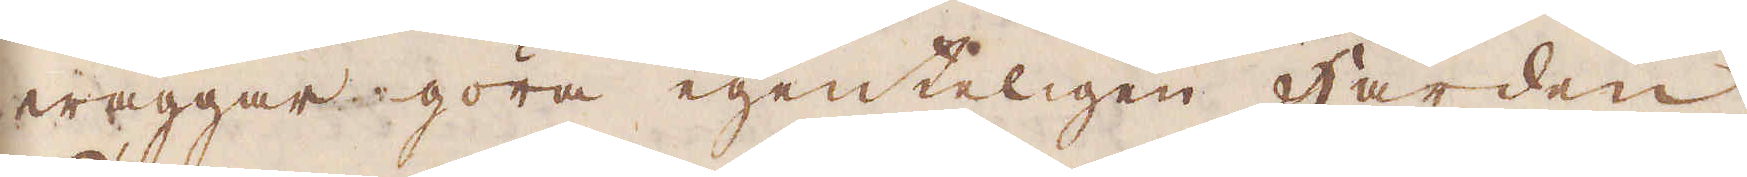wäggar göra egenteligen Härden.
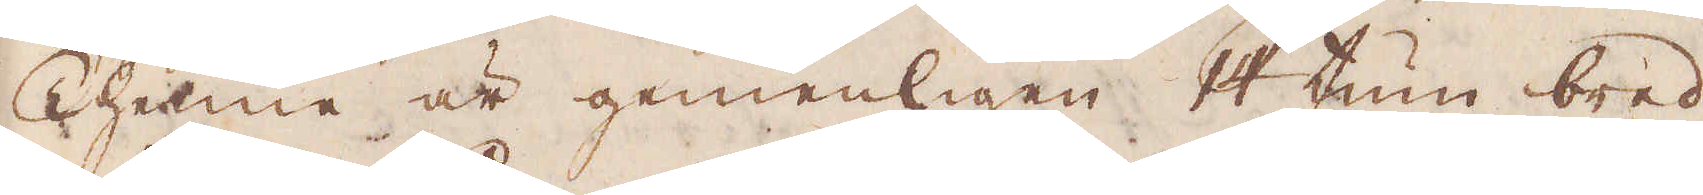Thenne är gemenligen 14 tum bred,
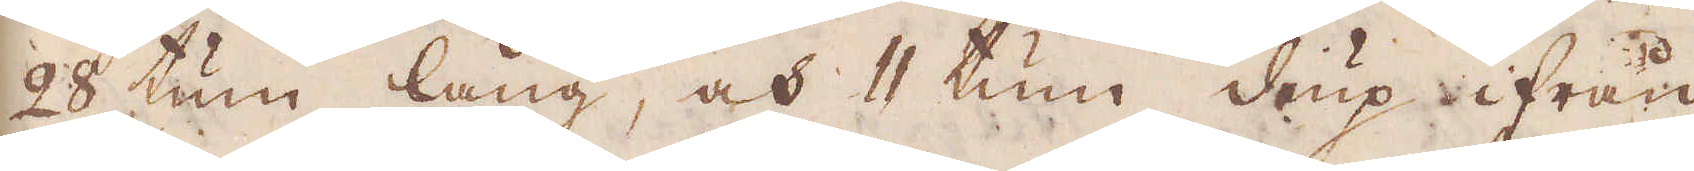28 tum lång, och 11 tum diup ifrån
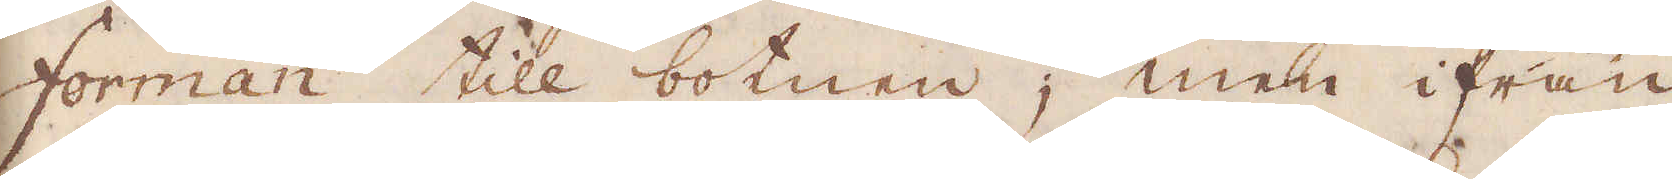Forman till botnen; men ifrån
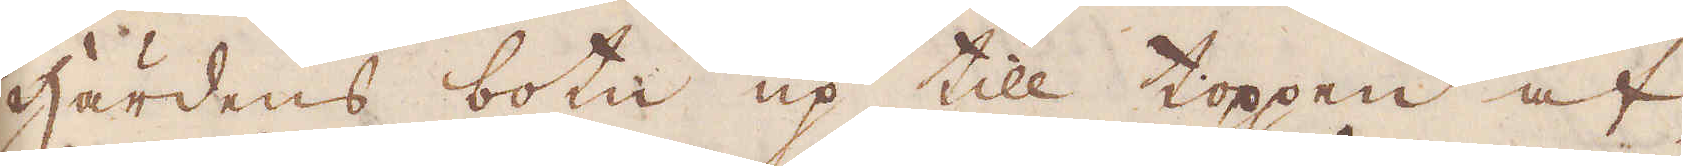Härdens botn up till toppen af
